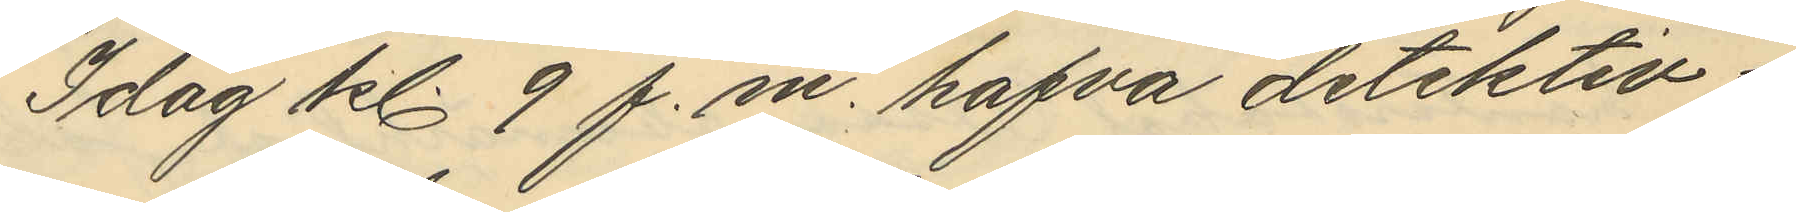Idag kl 9 f.m. hafva detektiv¬
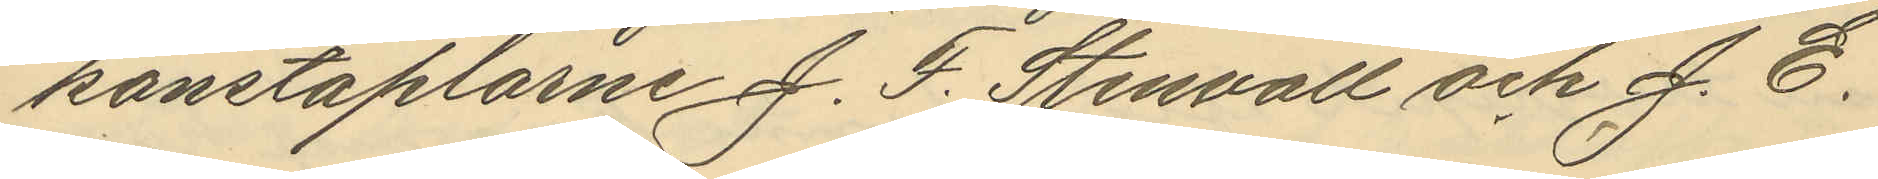konstaplarne J. F. Stenvall och J. E.
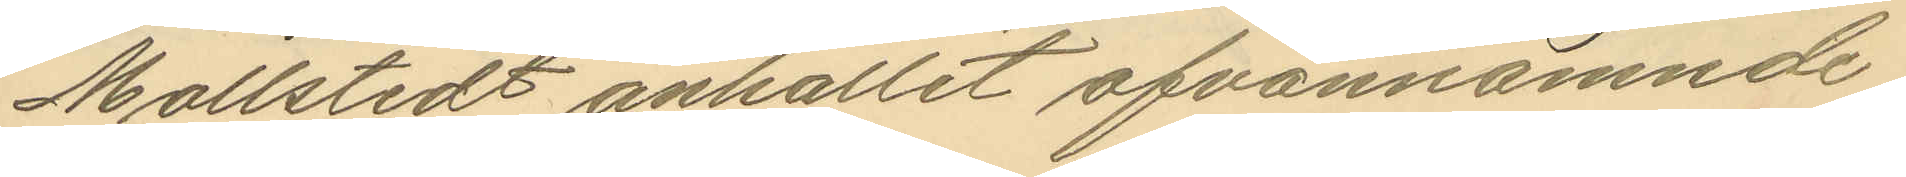Mollstedt anhållit ofvannämnde
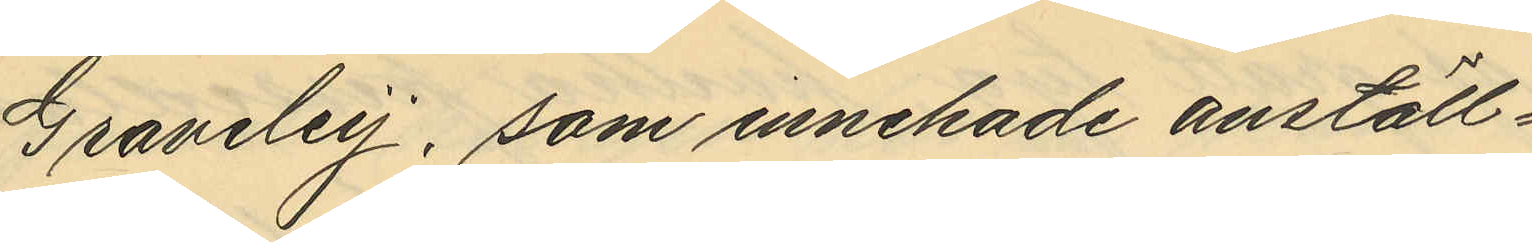Graveley, som innehade anställ¬
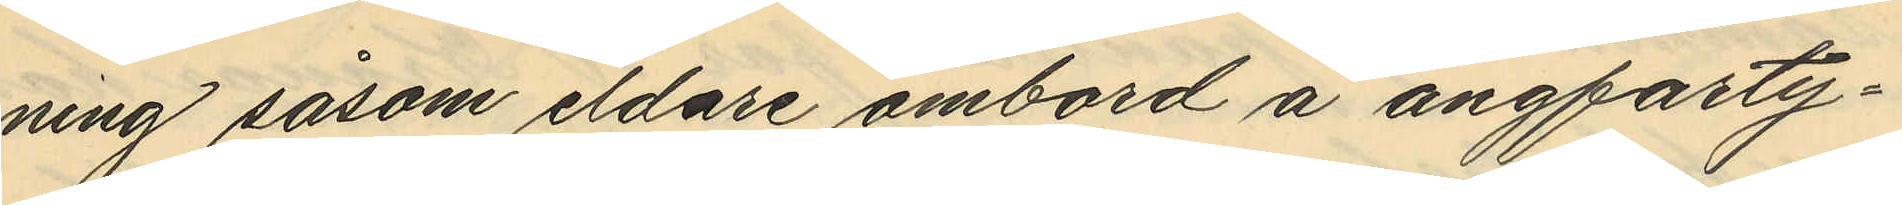ning såsom eldare ombord å ångfarty¬
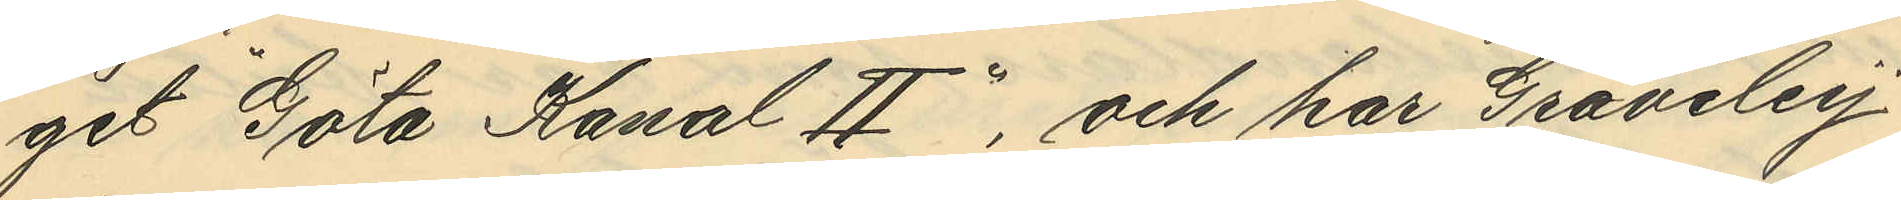get "Göta Kanal II", och har Graveley
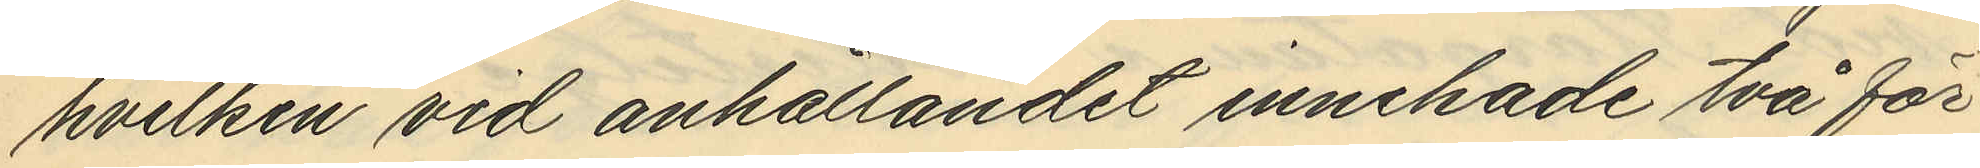hvilken vid anhållandet innehade två för
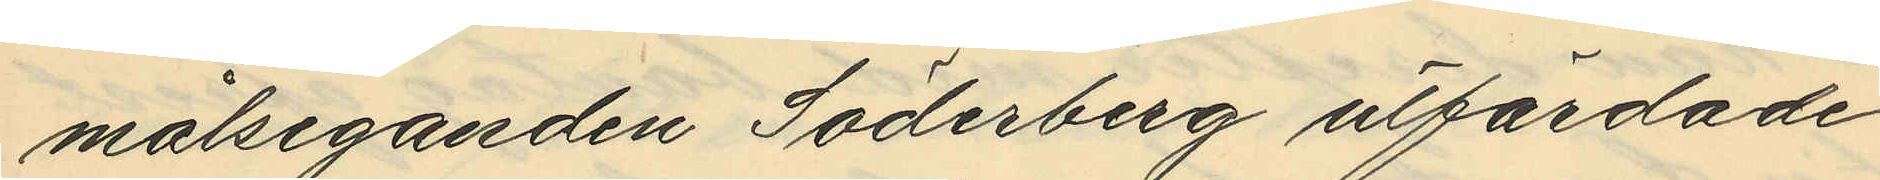målseganden Söderberg utfärdade
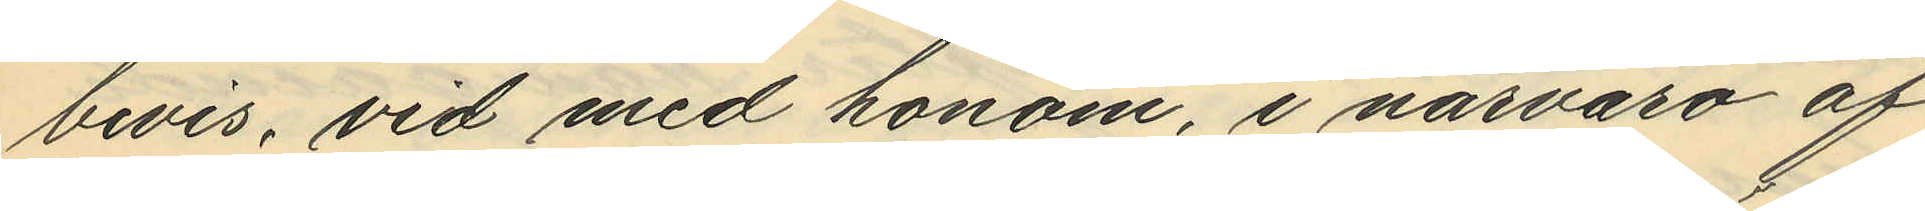bevis, vid med honom, i närvaro af
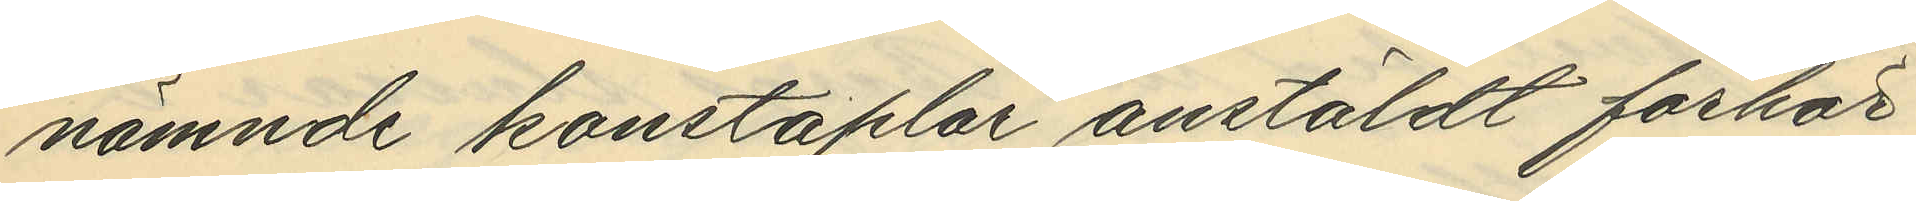nämnde konstaplar anstäldt förhör
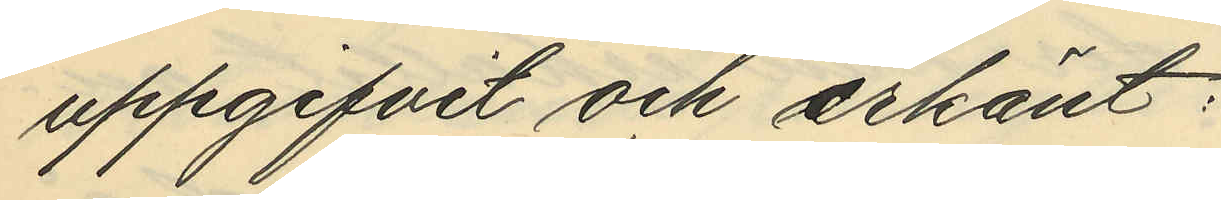uppgifvit och erkänt:
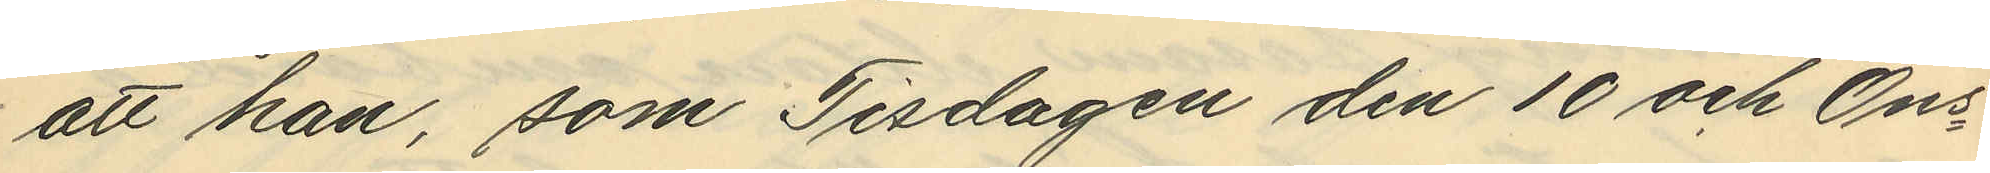att han, som Tisdagen den 10 och Ons
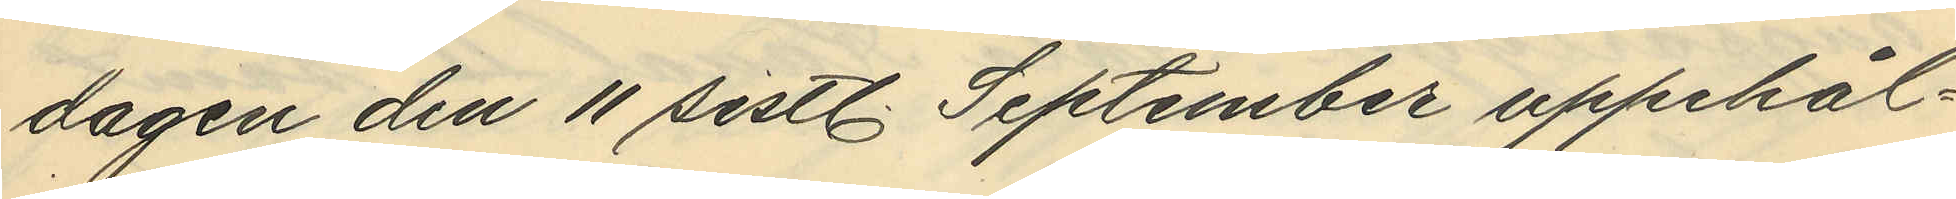dagen den 11 sistl. September uppehål¬
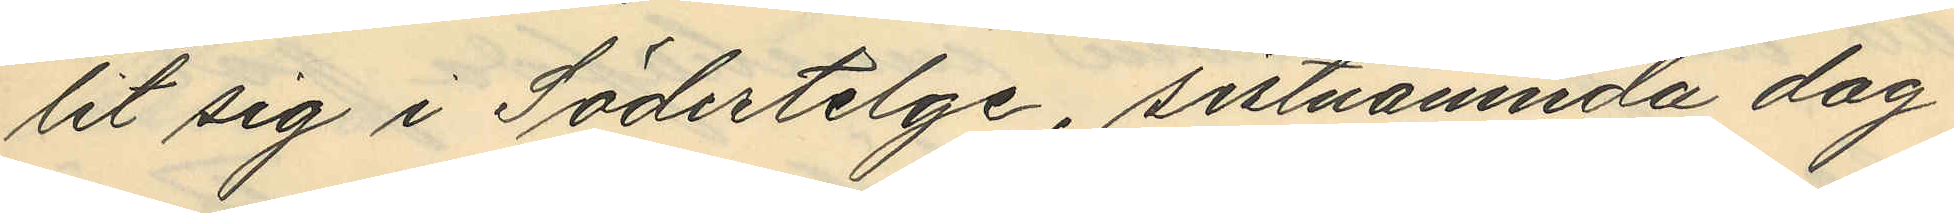lit sig i Södertelge, sistnämnda dag
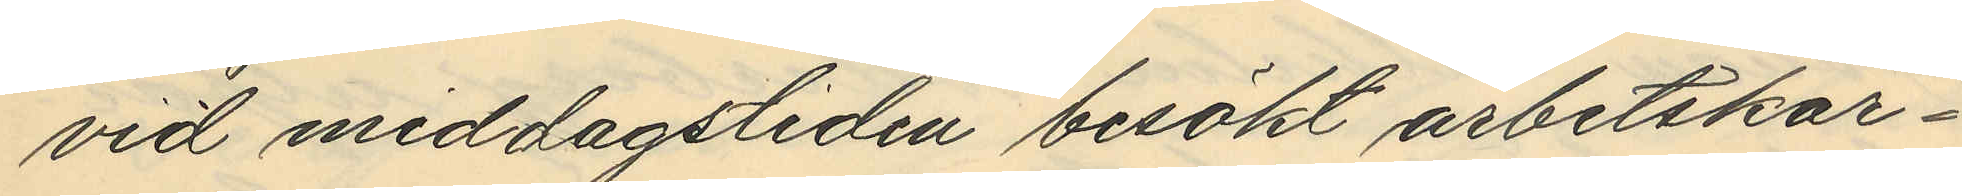vid middagstiden besökt arbetskar¬
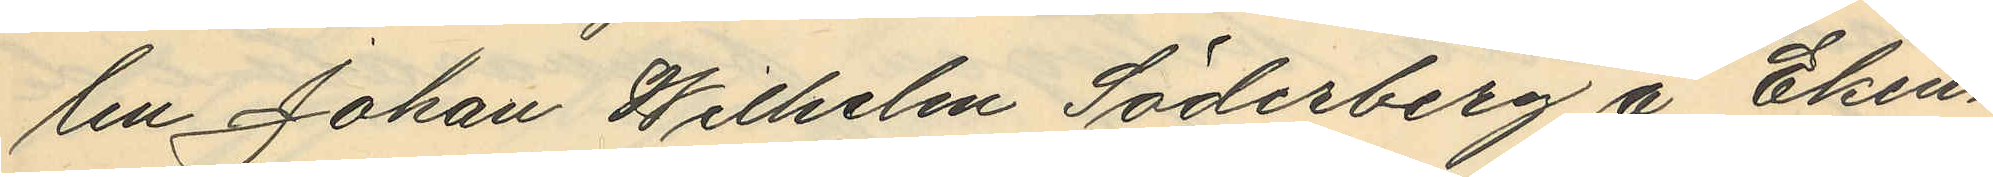len Johan Wilhelm Söderberg å Eken¬
